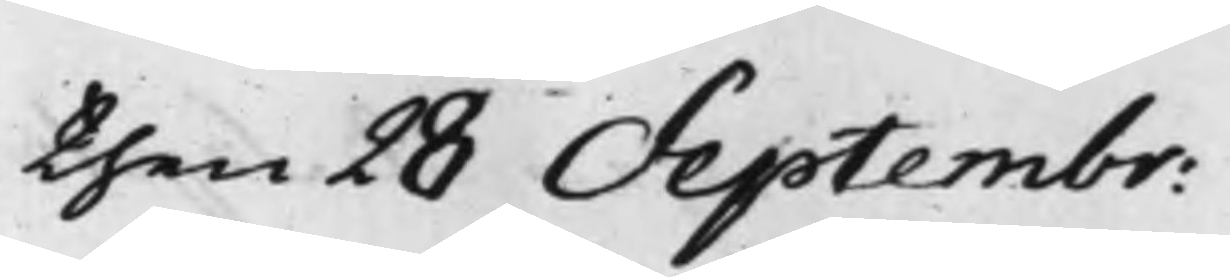then 28 Septembr:
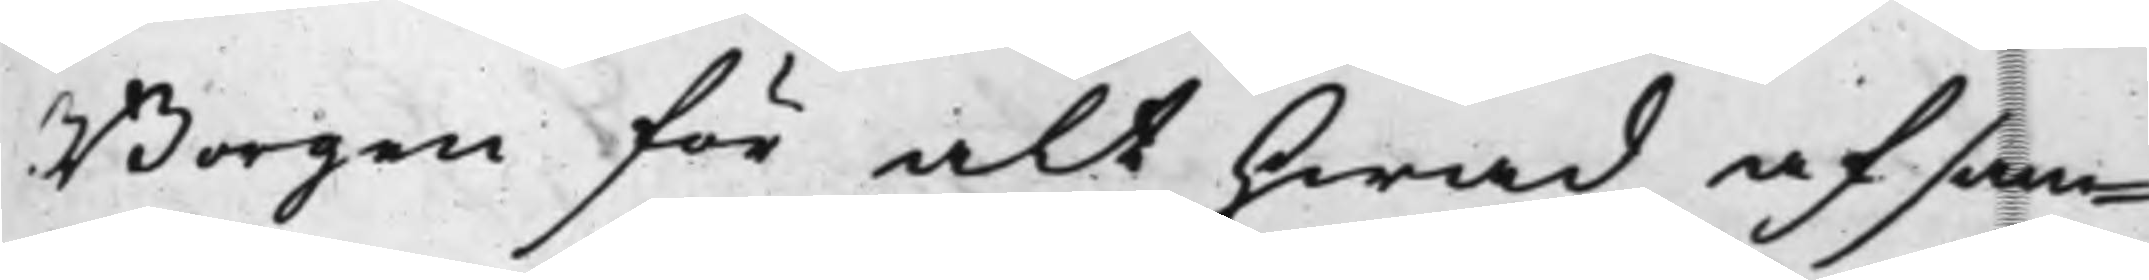Borgen för alt hwad af sam¬
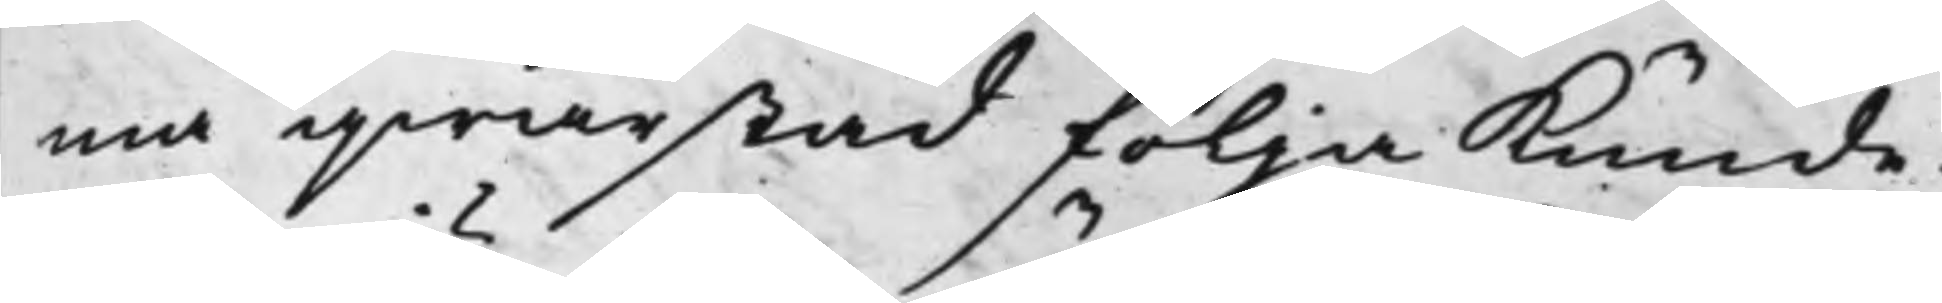ma qwarstad följa kunde.
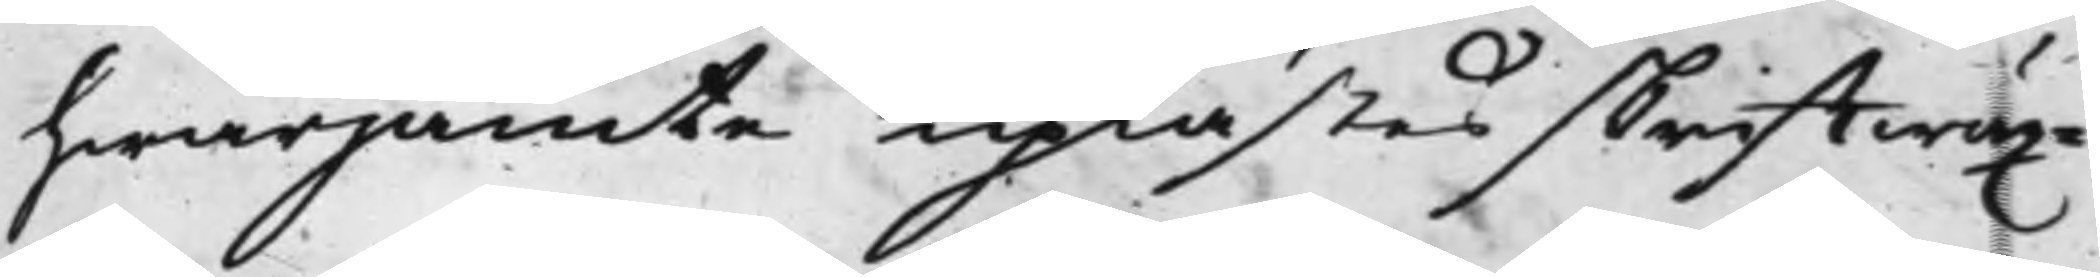hwarjämte uplästes skrifftwäx¬
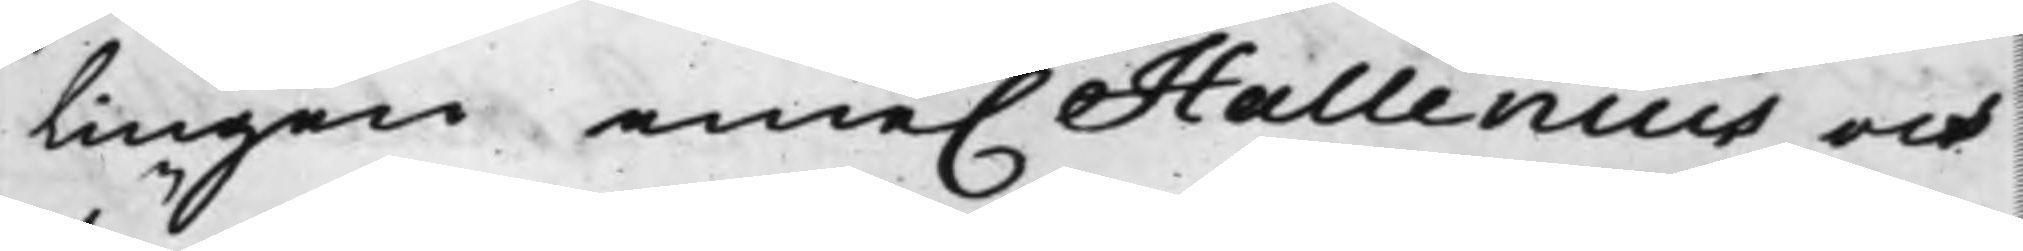lingen eme. Hallenius och
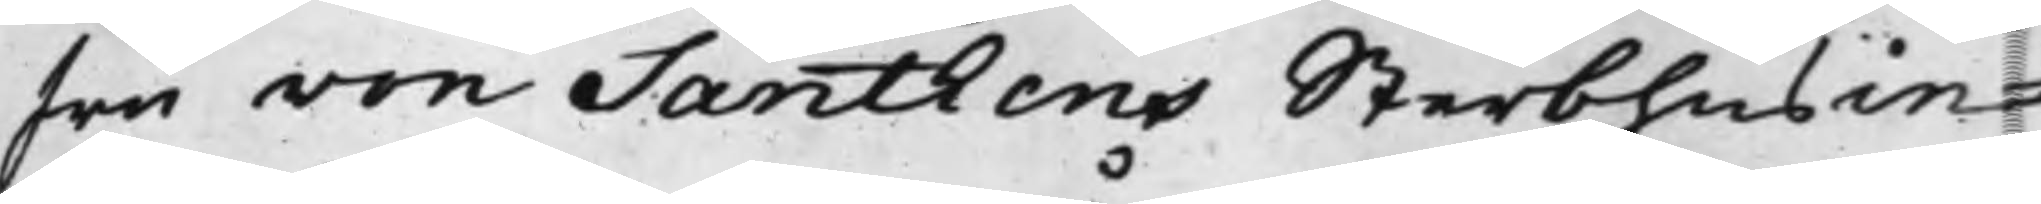fru von Santhens Sterbhus in¬
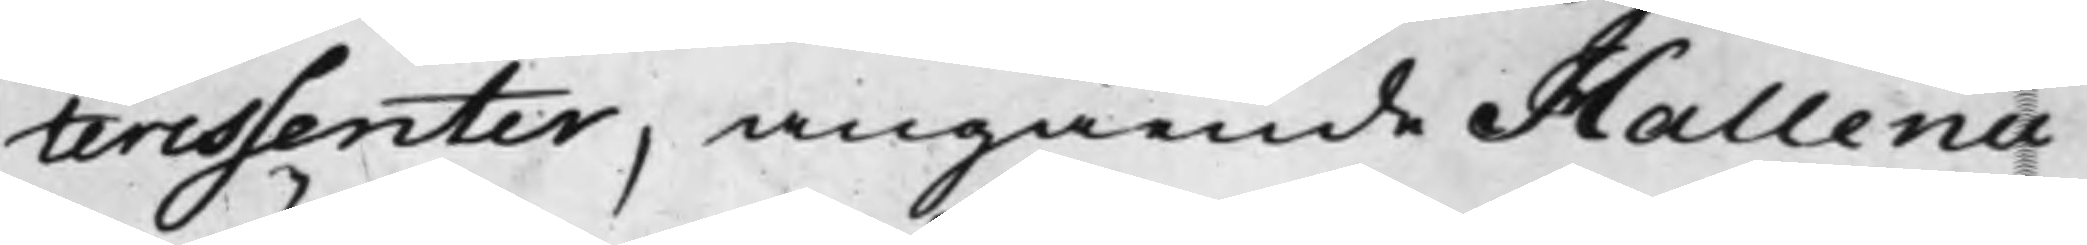teressenter, angående Hallenii
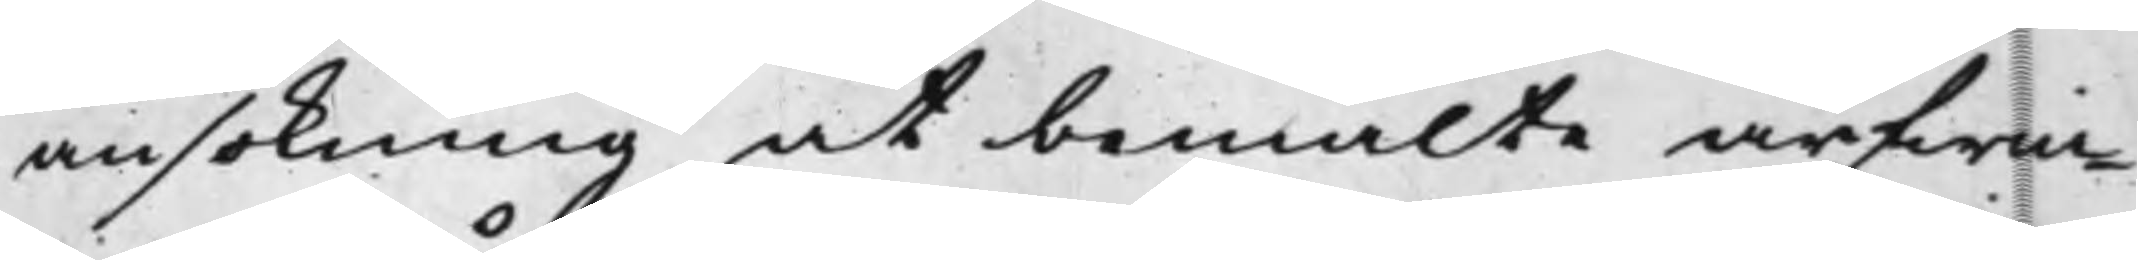ansökning at bemälte arfwin¬
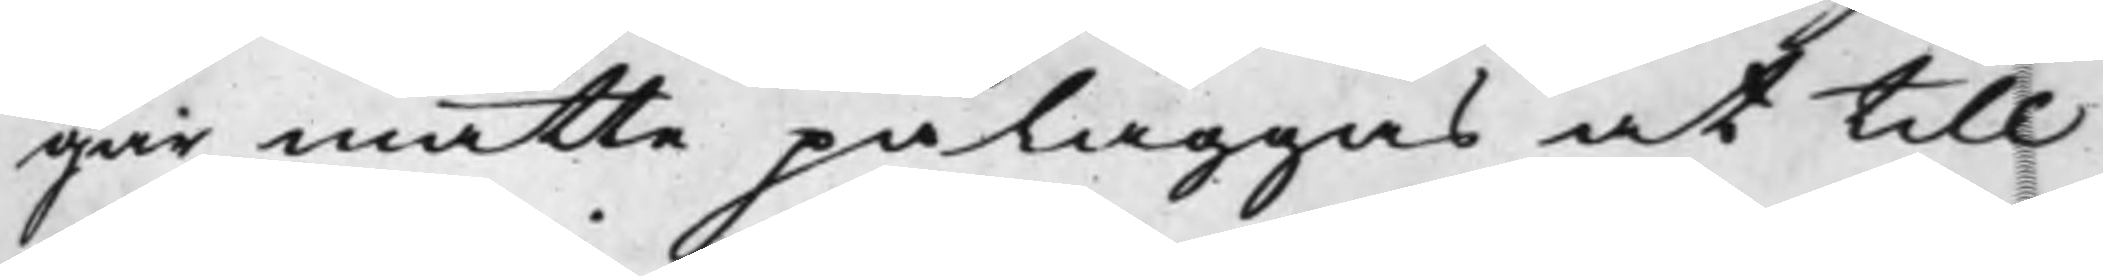gar måtte påläggas at till
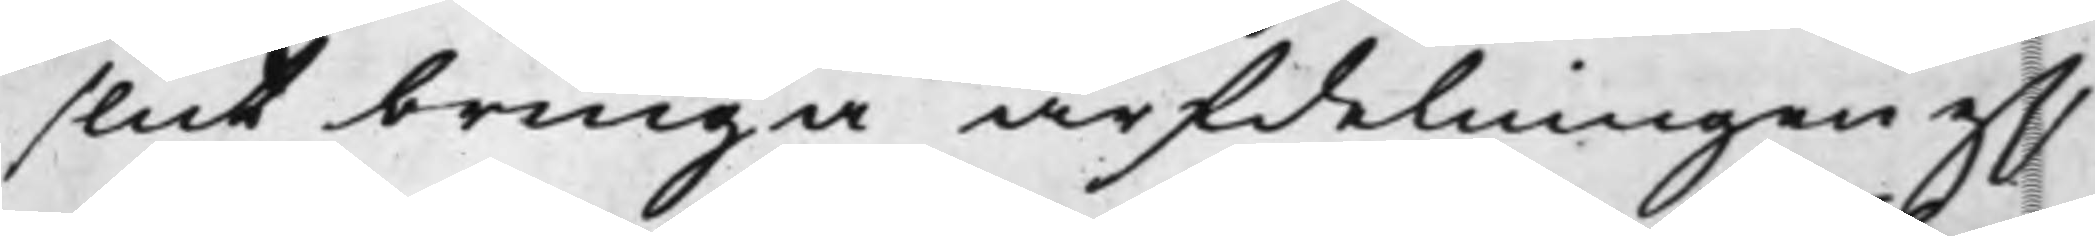slut bringa arfdelningen efft
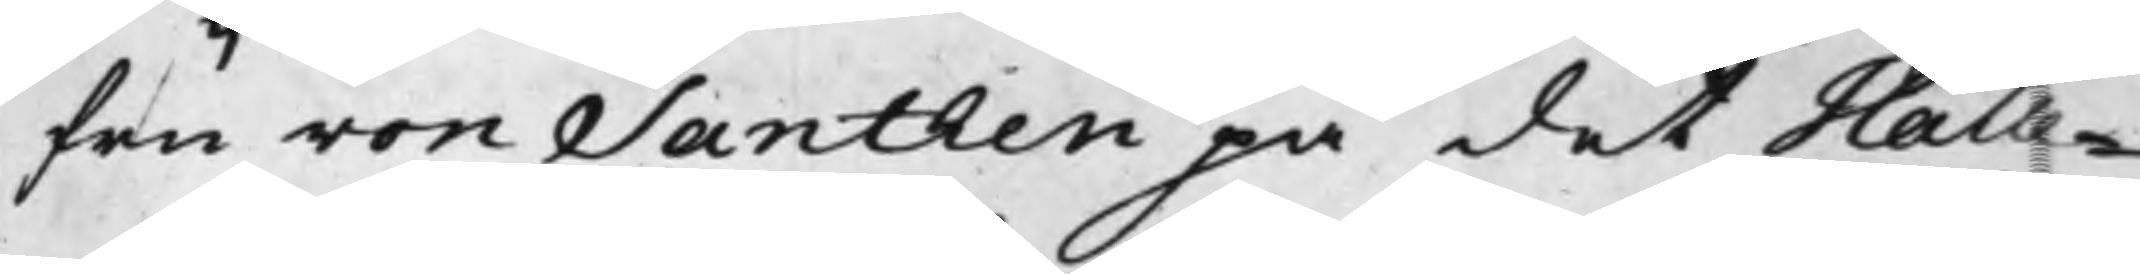fru von Santhen på det Halle¬
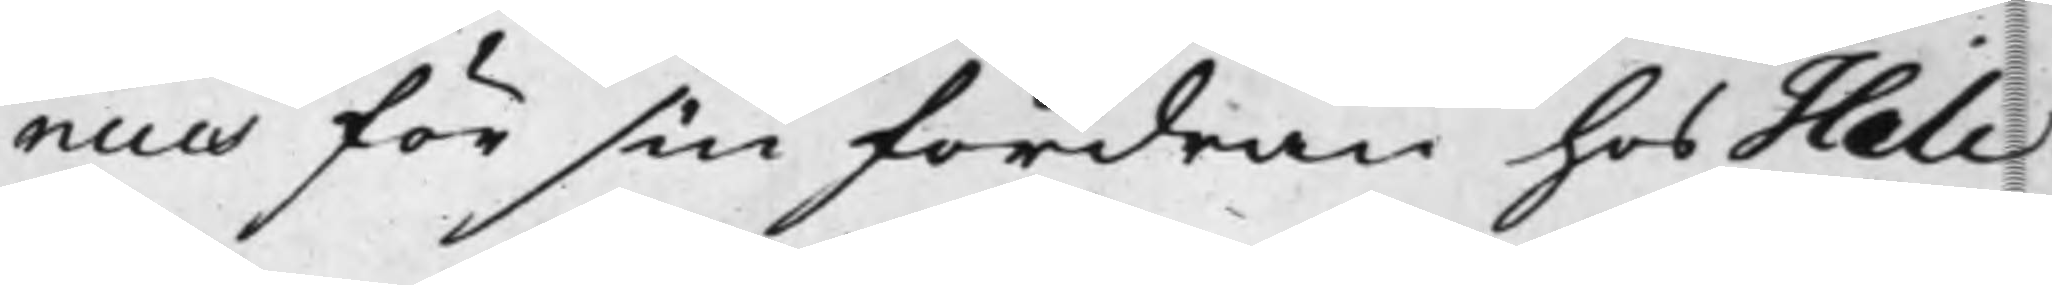nius för sin fordran hos Hilc¬
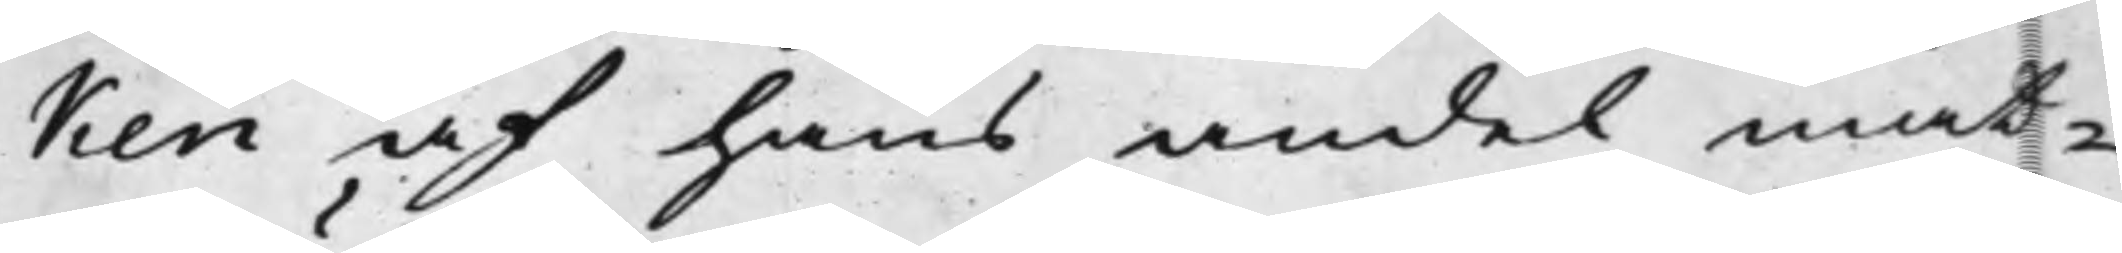ken af hans andel måt¬
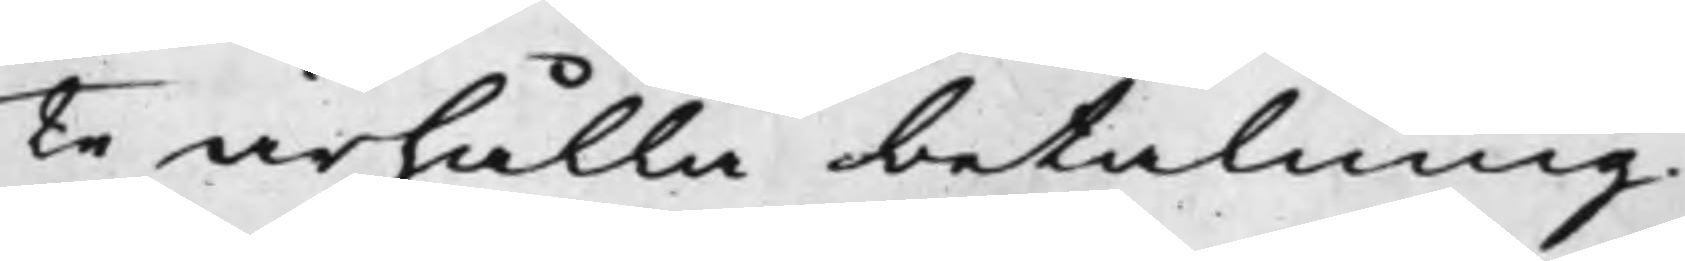te ärhålla betalning.
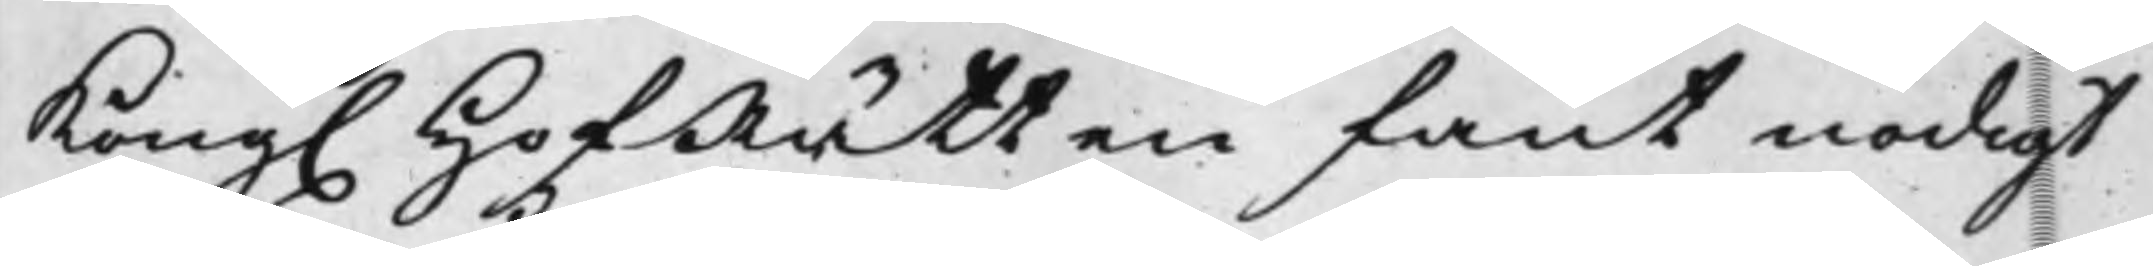Kong. HofRätten fant nödigt
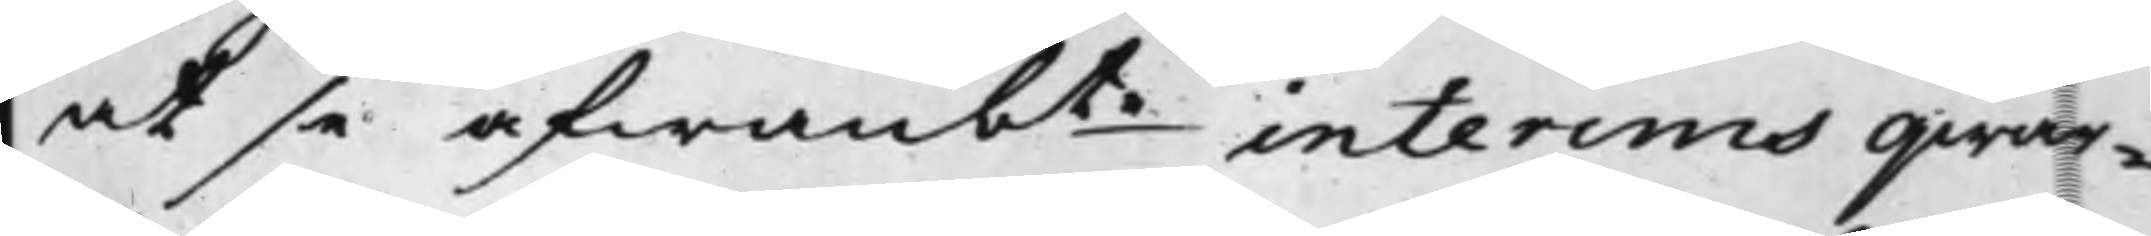at se åfwanbte interims qwar¬
